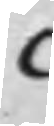C
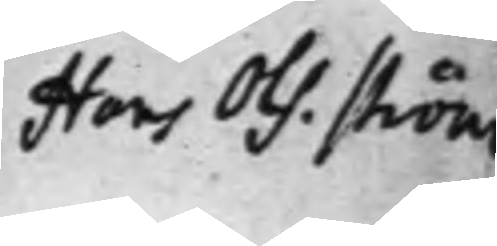Hans Ols. Ström
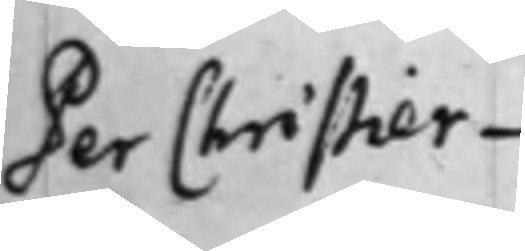Per Christier¬
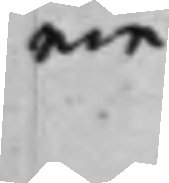nin
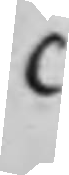C
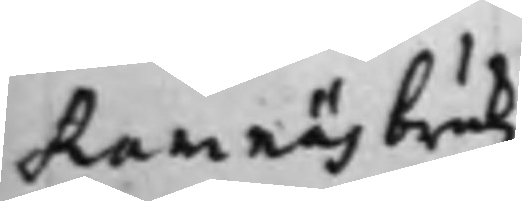Ramnäs brukz
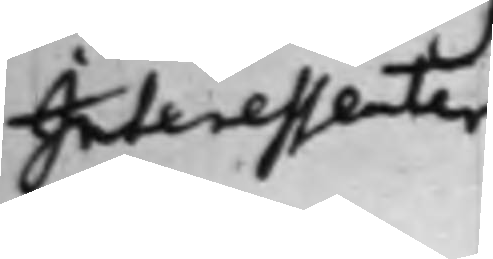Interessenter
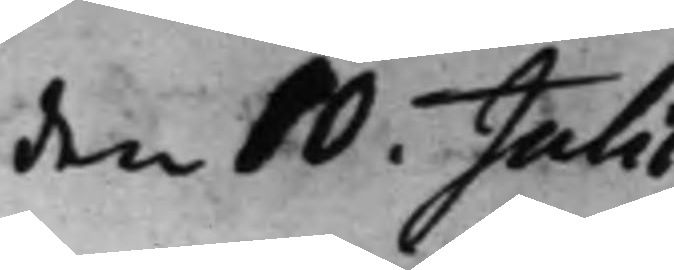den 10. Julii
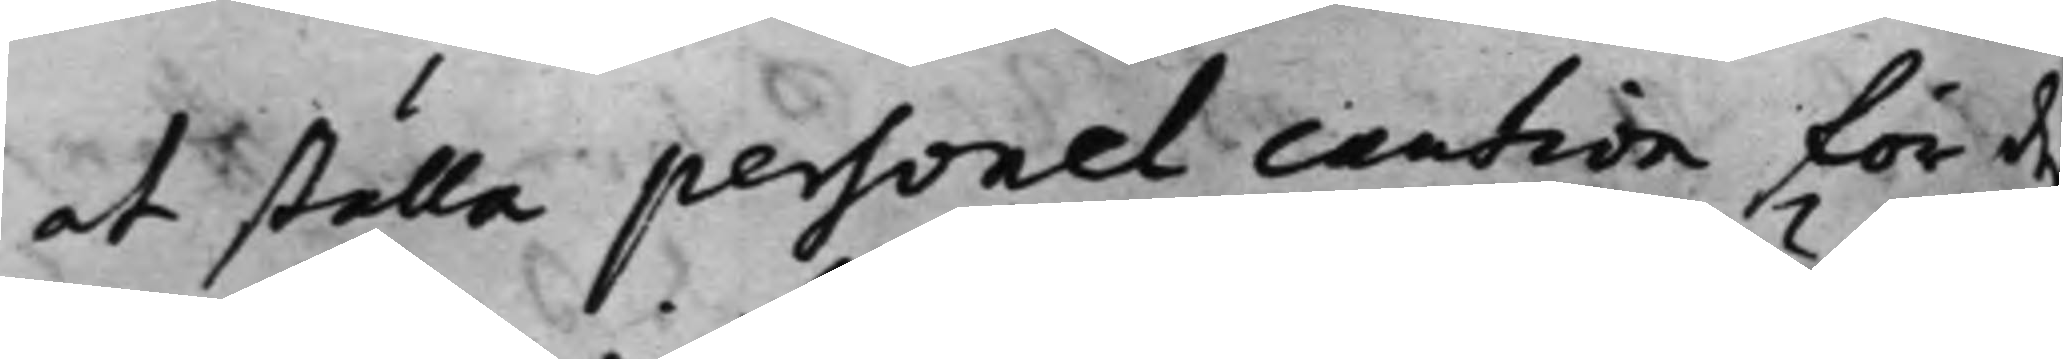at ställa personel caution för de
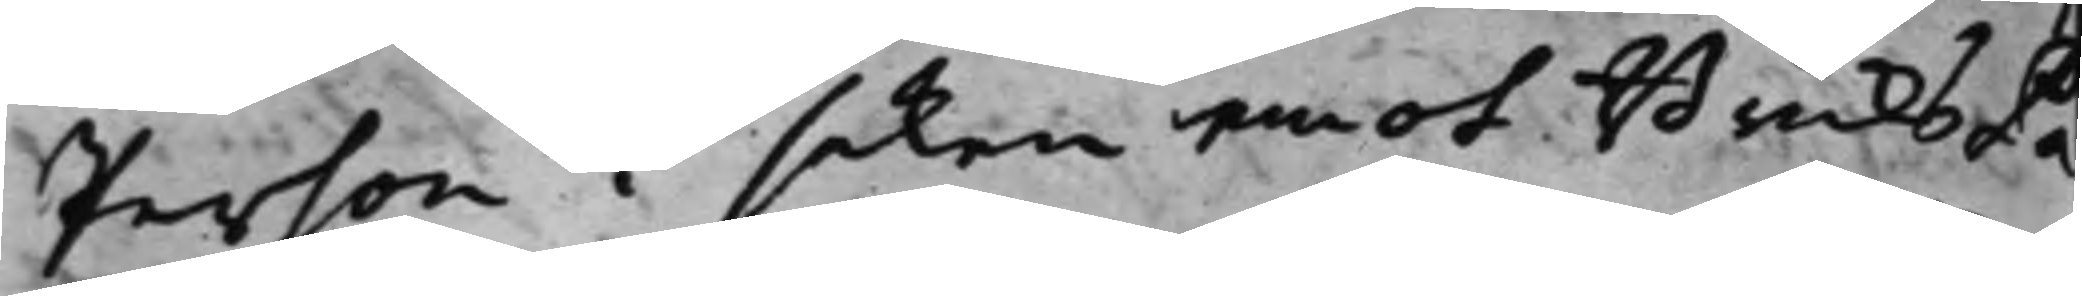Person i saken emot BruksPa¬
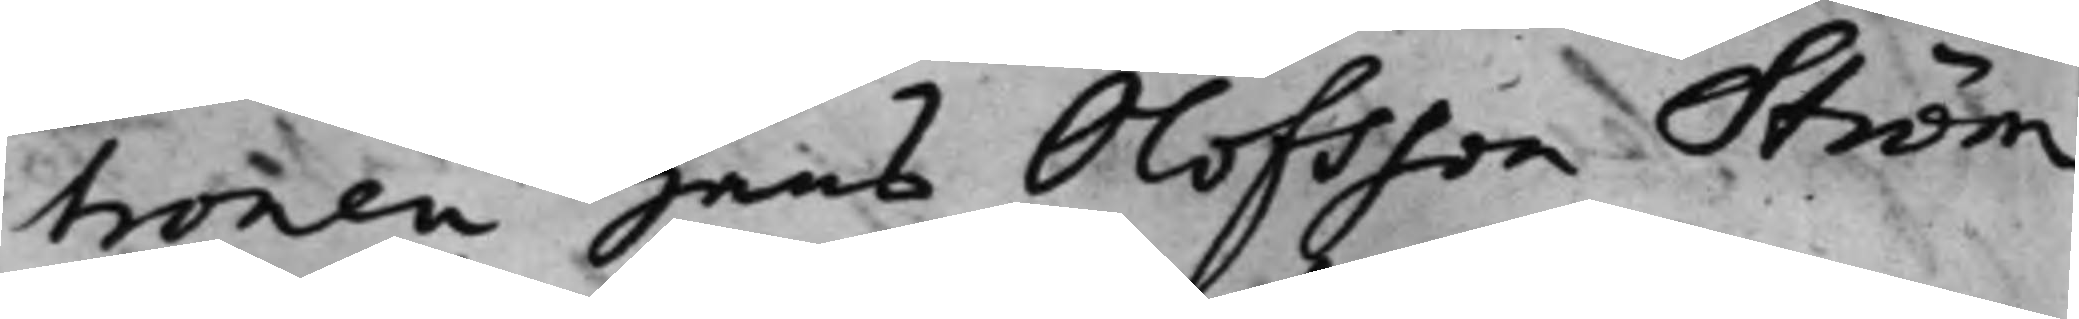tronen Hans Olofsson Ström
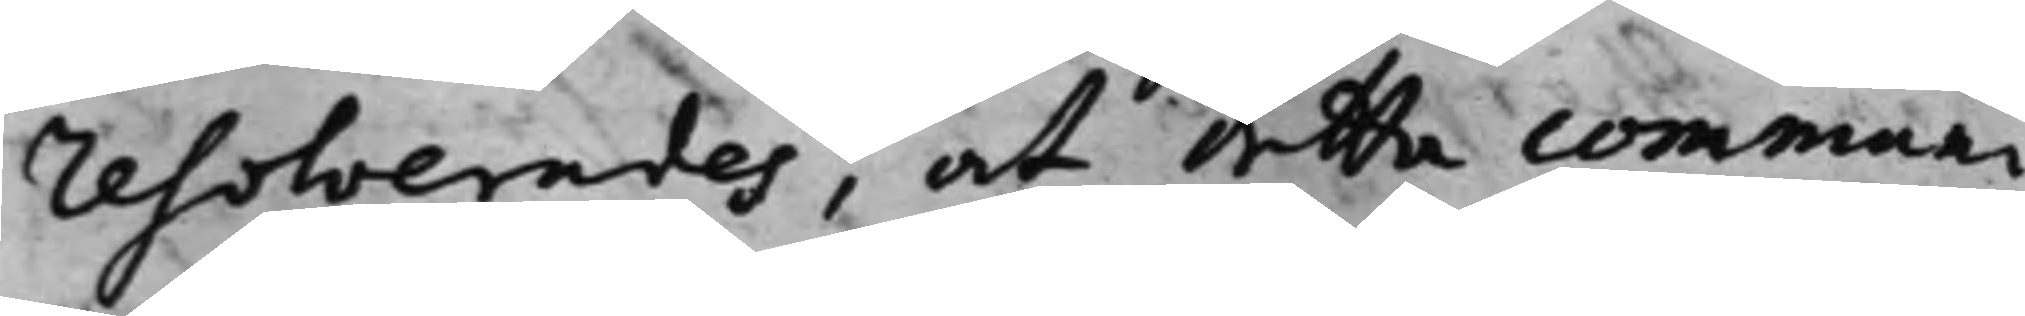resolverades, at detta communi¬
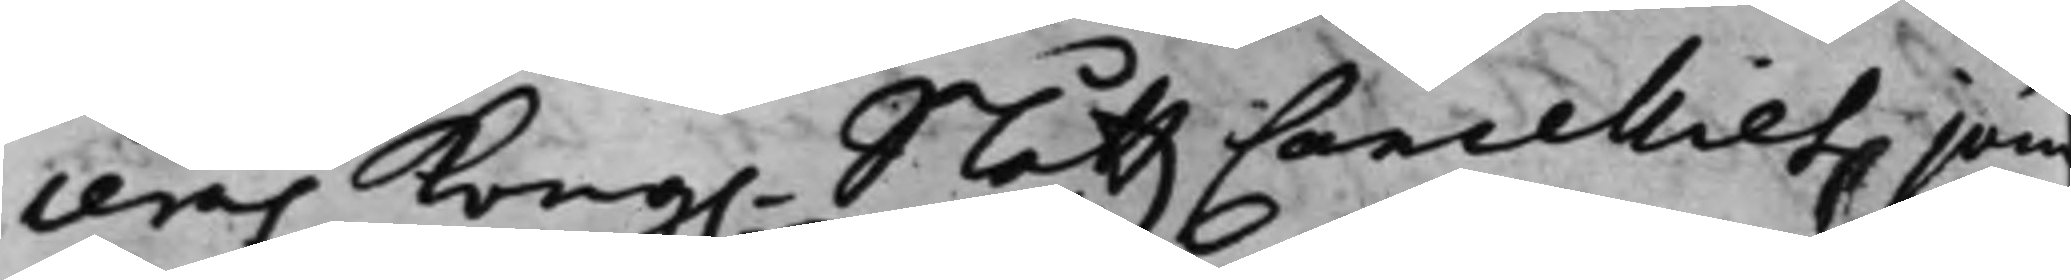ceras Kong. SlåttzCancelliet jäm¬
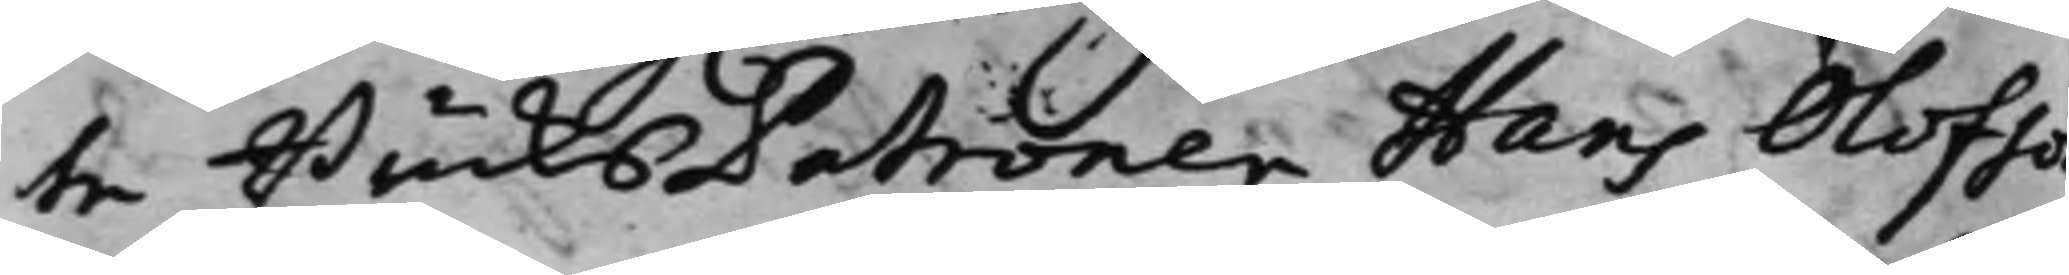te BruksPatronen Hans Olofso
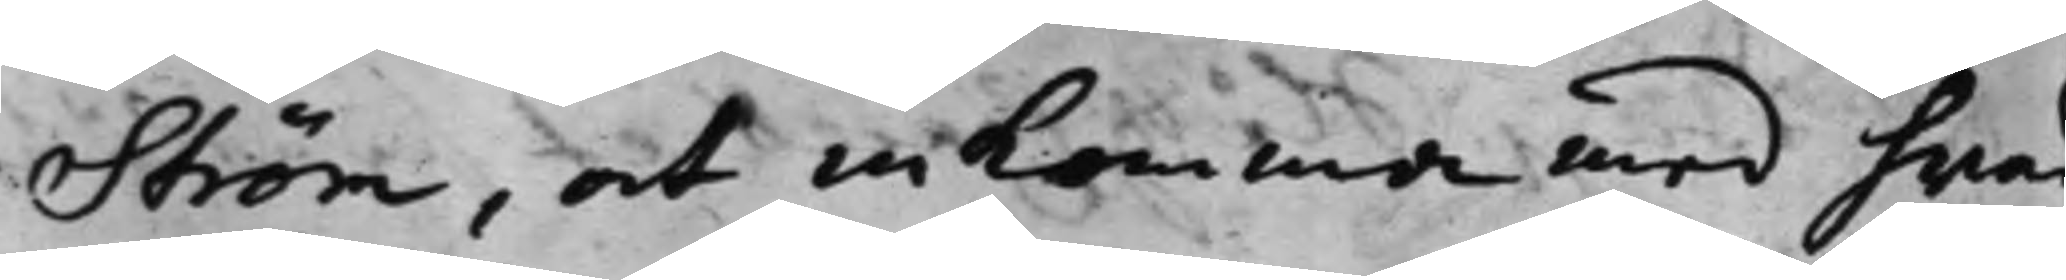Ström, at inkomma med hwad
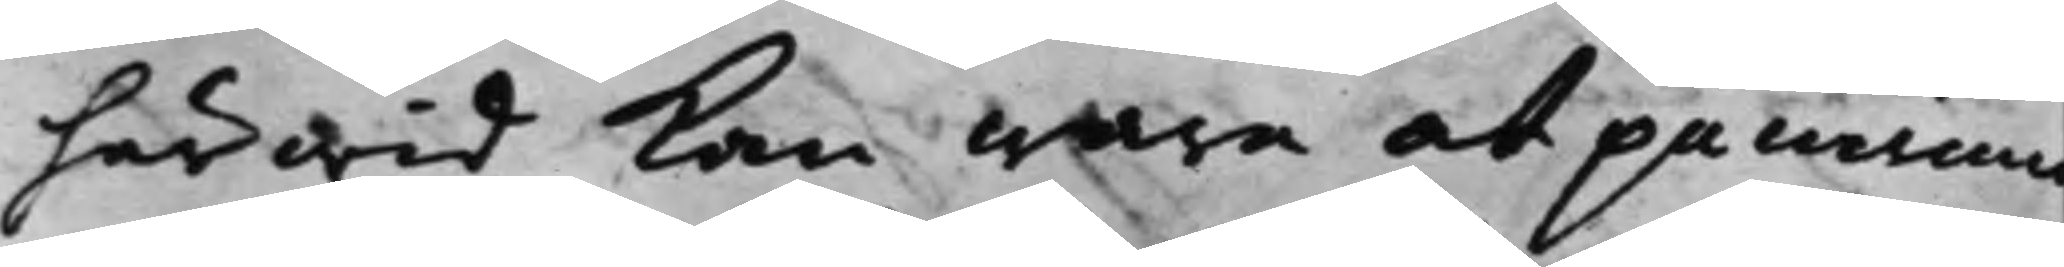härwid kan wara at påminna
